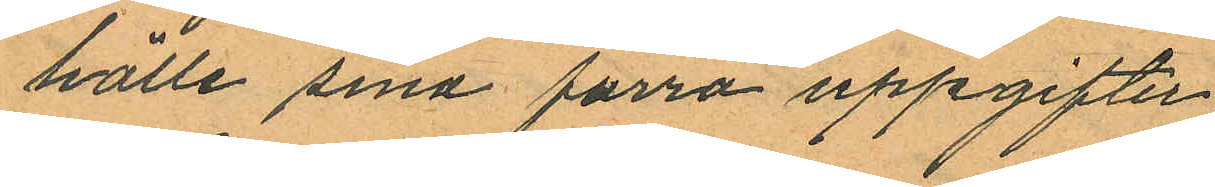hölle sina förra uppgifter
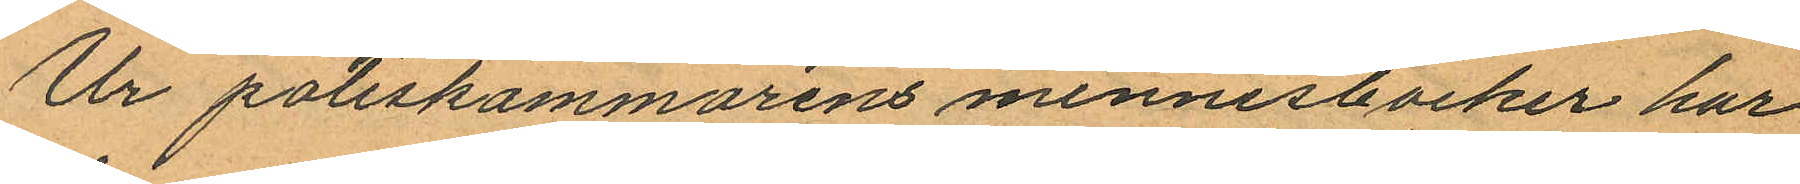Ur poliskammarens minnesböcker har
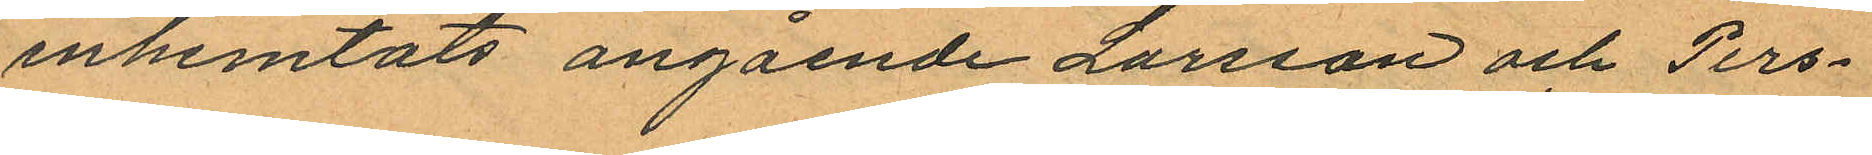inhemtats angående Larsson och Pers¬
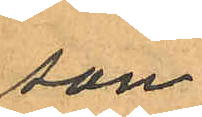son
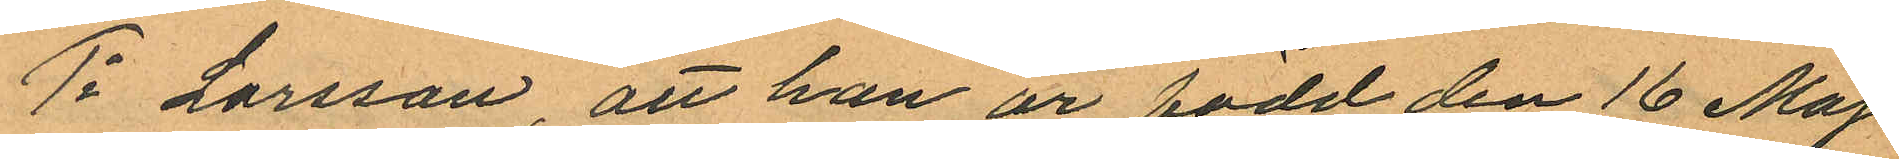1o Larsson, att han är född den 16 Maj
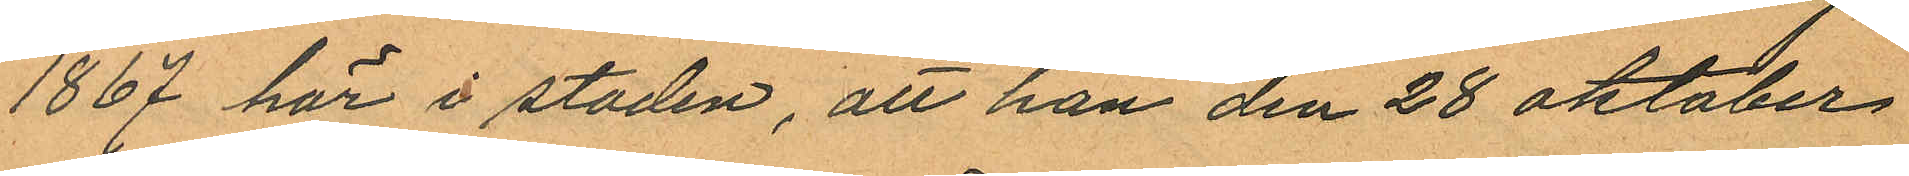1867 här i staden, att han den 28 Oktober
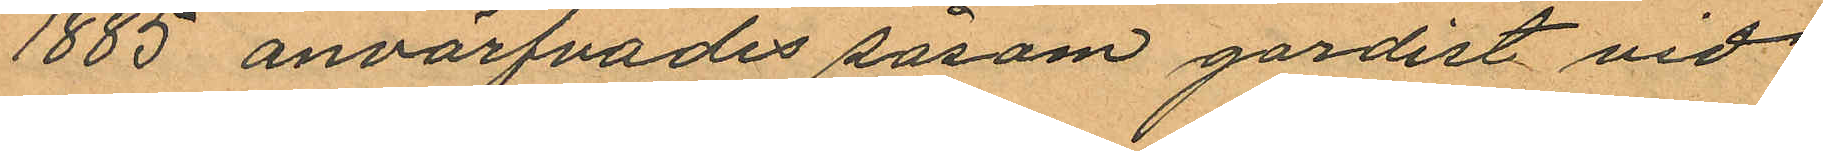1885 anvärfvades såsom gardist vid
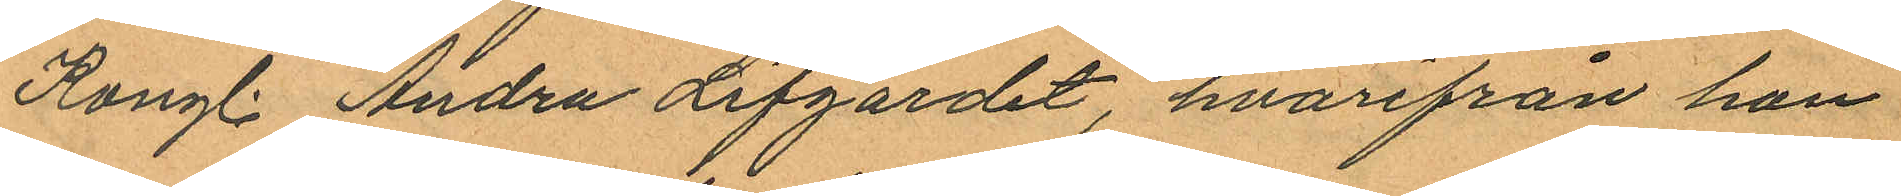Kongl. Andra Lifgardet, hvarifrån han
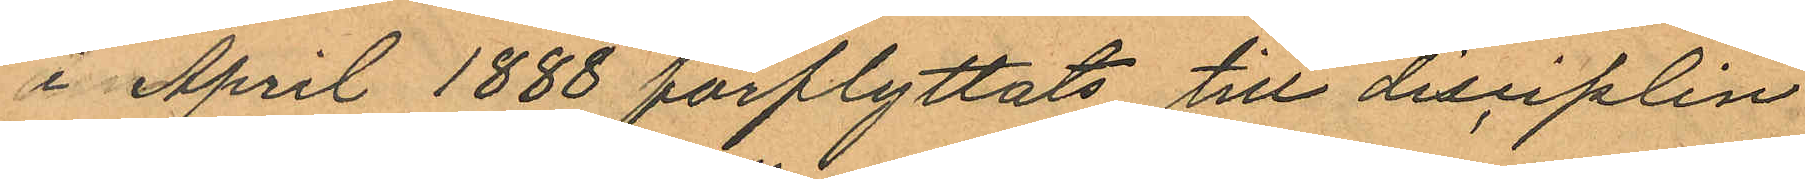i April 1888 förflyttats till disciplin
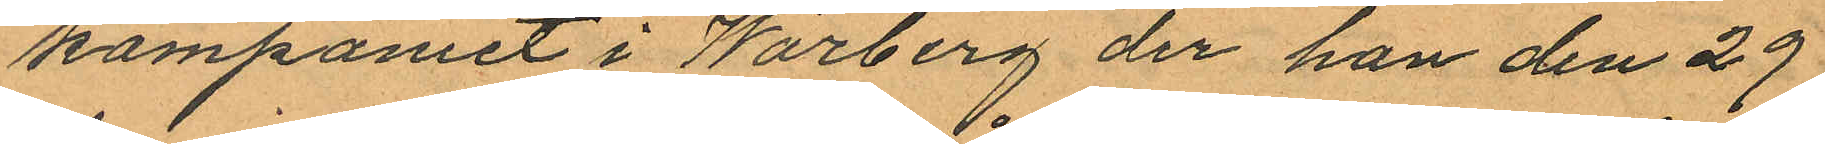kompaniet i Warberg der han den 29
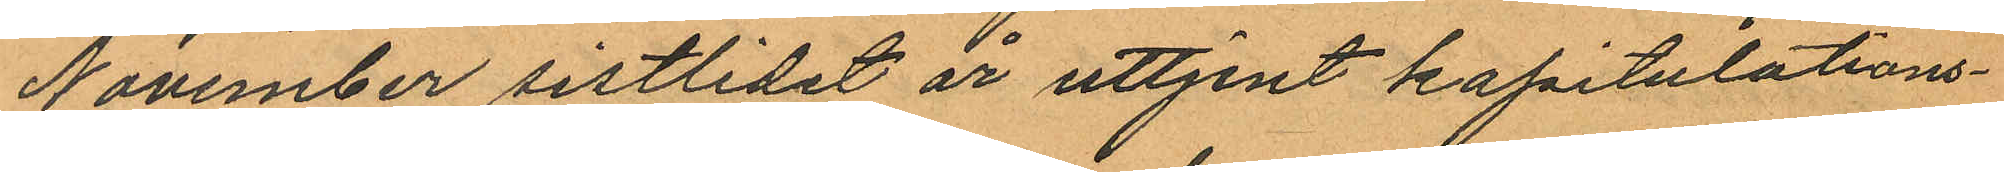November sistlidet år uttjent kapitulations¬
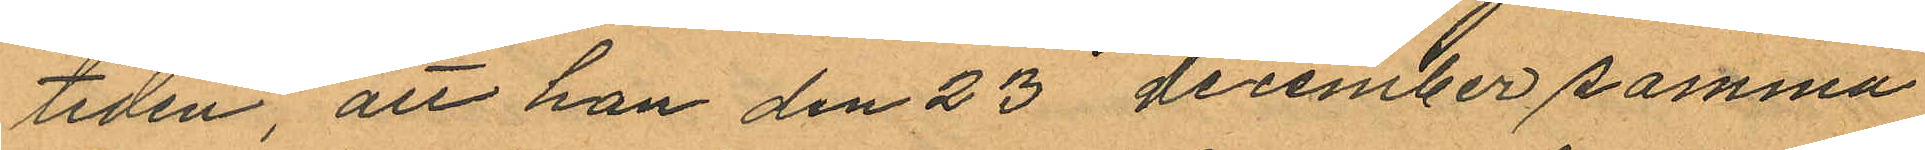tiden, att han den 23 december samma
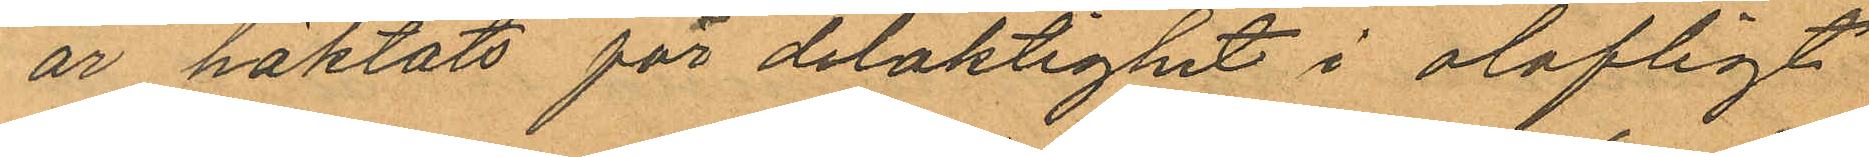år häktats för delaktighet i olofligt
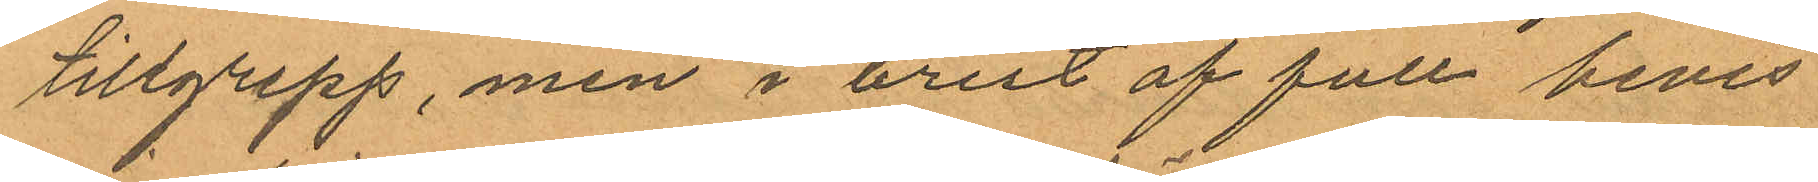tillgrepp, men i brist af full bevis¬
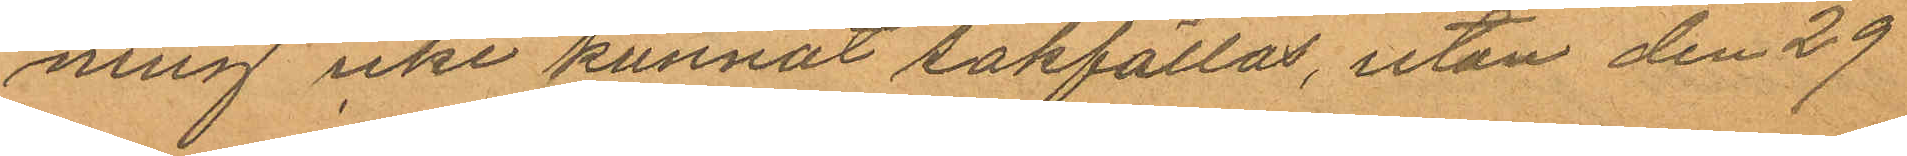ning icke kunnat sakfällas, utan den 29
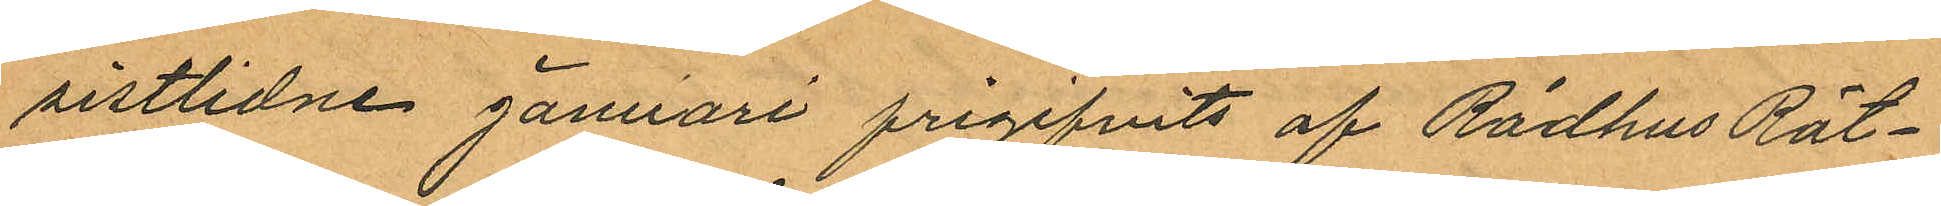sistlidne januari frigifvits af Rådhus Rät¬
